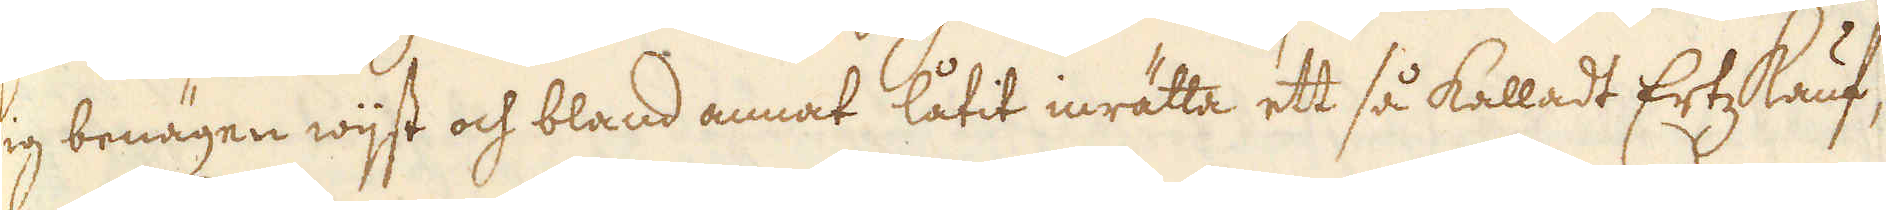sig benägen wijst och bland annat låtit inrätta ett så kalladt ErtzKauf,
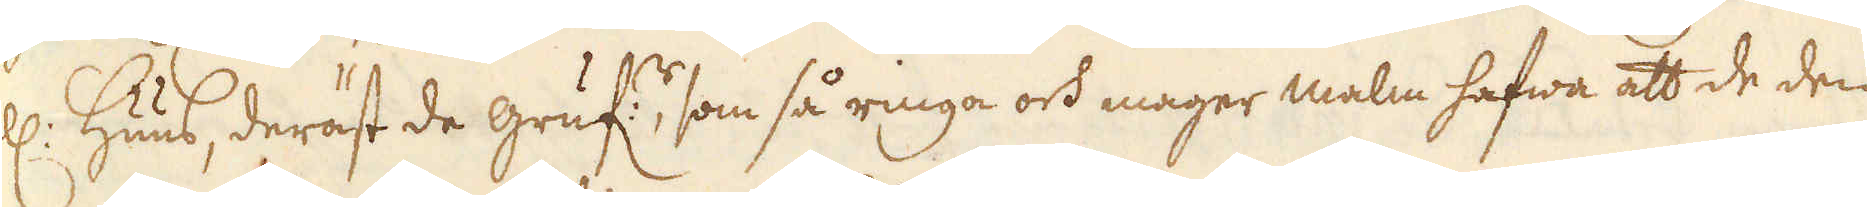ell: Huus, deräst de gruf:r, som så ringa och mager malm hafwa att de den
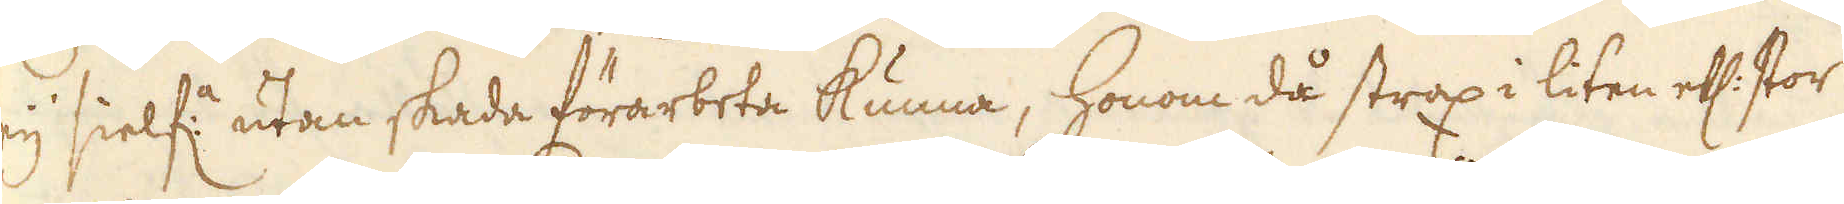eij sielf:a utan skada förarbeta kunna, honom då strax i liten ell: stor
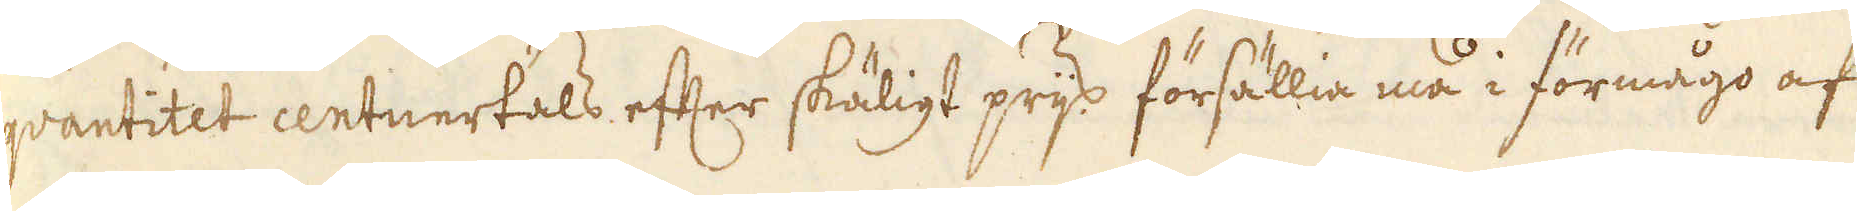qvantitet centnertals efter skäligt prijs försällia må i förmågo af
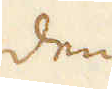den
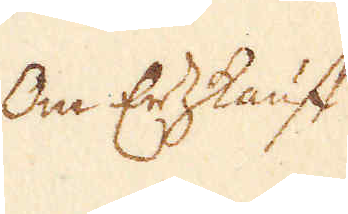On ErtzKauff
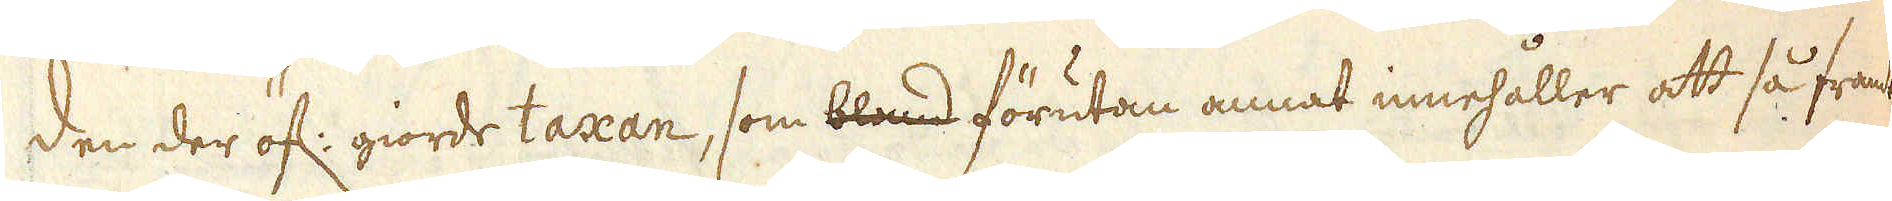den der öf: giorde taxan, som bland förutan annat innehåller att så framt
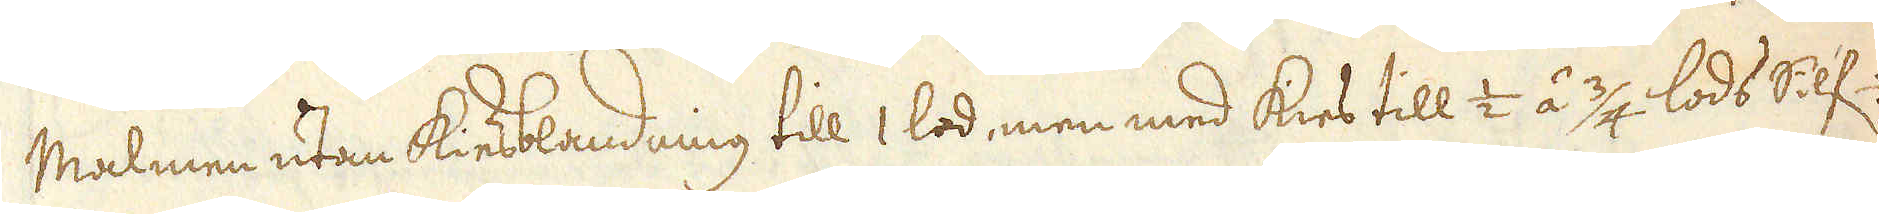Malmen utan Kiesblandning till 1 lod, men med kies till 1/2 á 3/4 lods Silf-
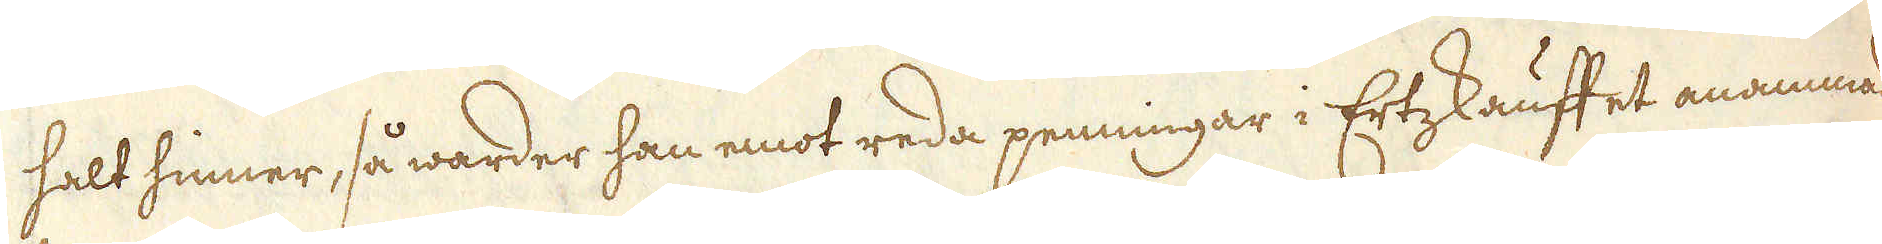halt hinner, så warder han emot reda penningar i Ertzkauffet anammad.
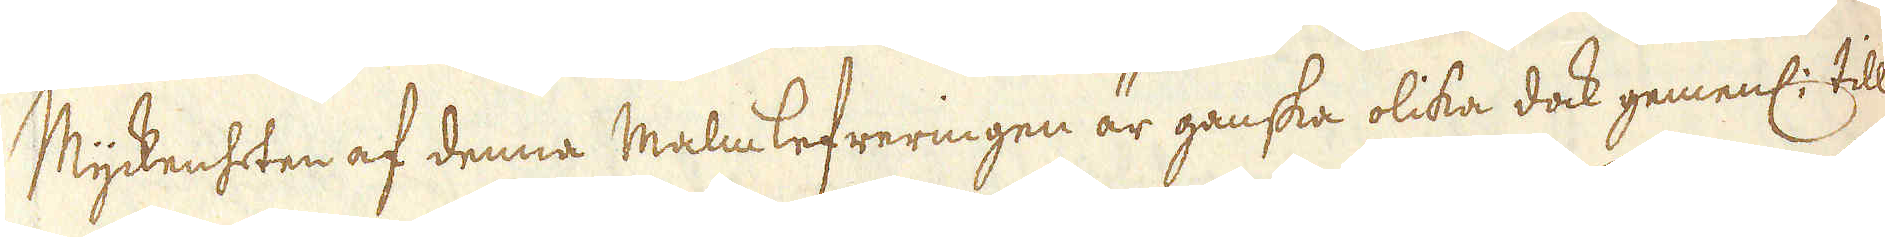Myckenheten af denna Malmlefreringen är ganska olika dock gemenl: till
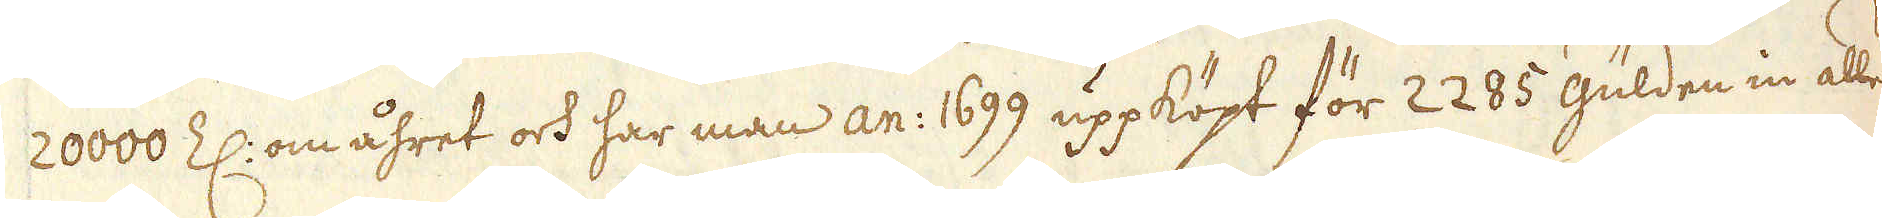20000 Z: om åhret och har man an: 1699 uppköpt för 2285 gülden in alles,
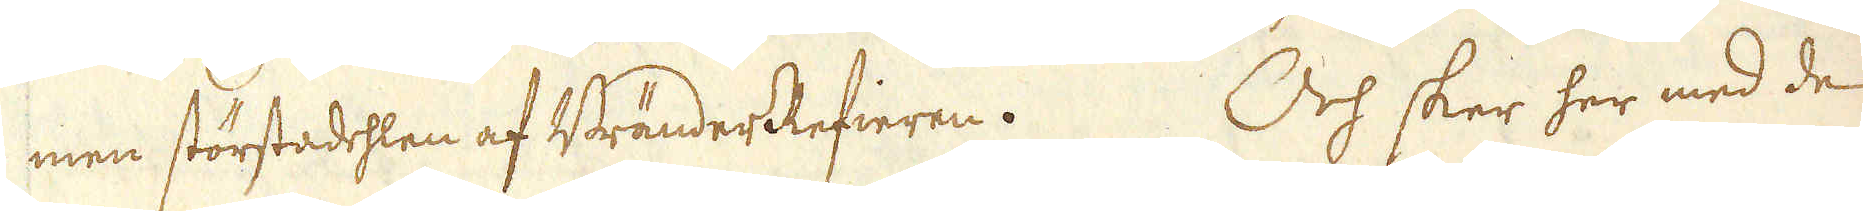men störstadehlen af Bränder Refieren. Och sker her med de
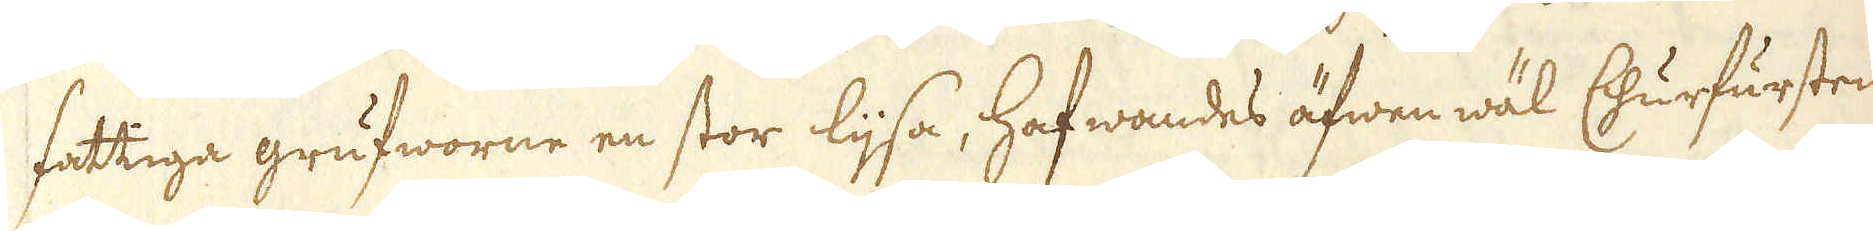fattiga grufworne en stor lijsa, hafwandes äfwen wäl Churfursten
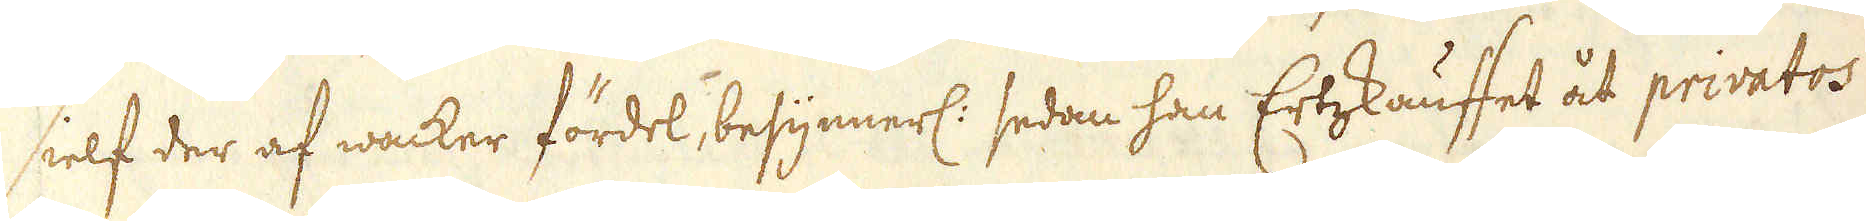sielf der af wacker fördel, besynnerl: sedan han Ertzskauffet åt privatos
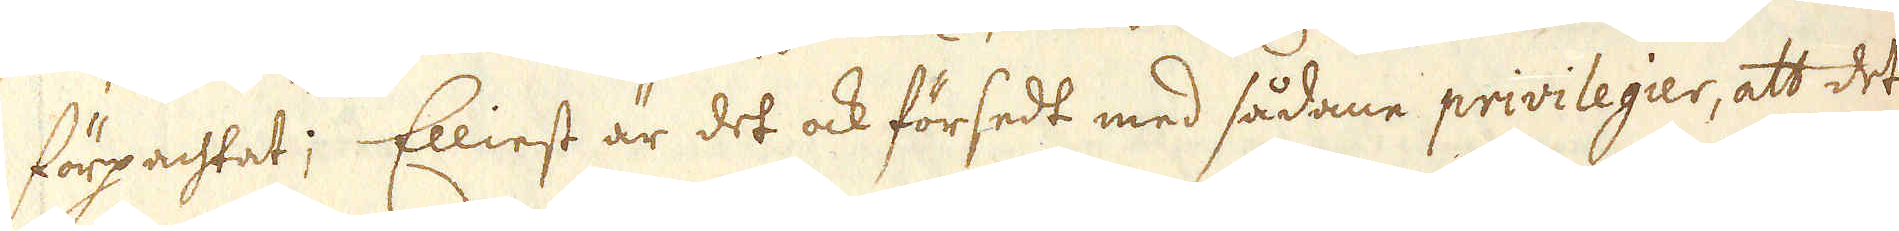förpachtat; Elliest är det ock försedt med sådane privilegier, att det
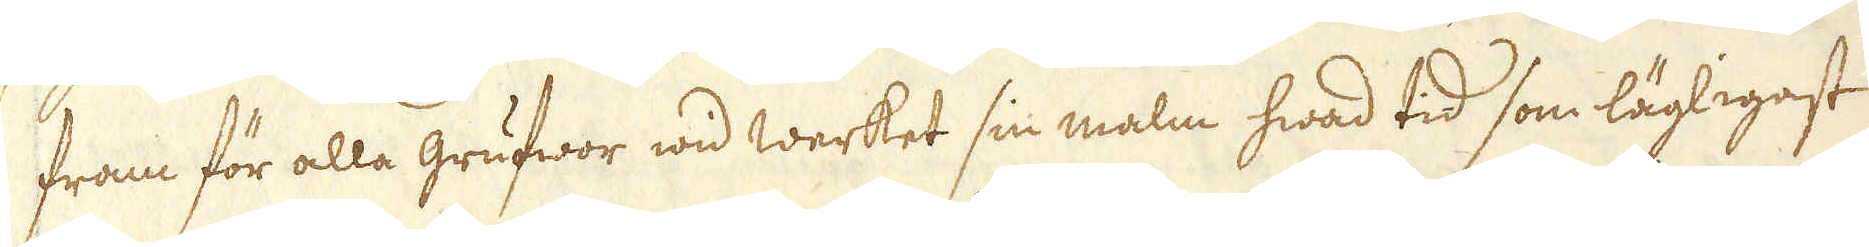fram för alla grufwor wid werket sin malm hwad tid som lägligast
